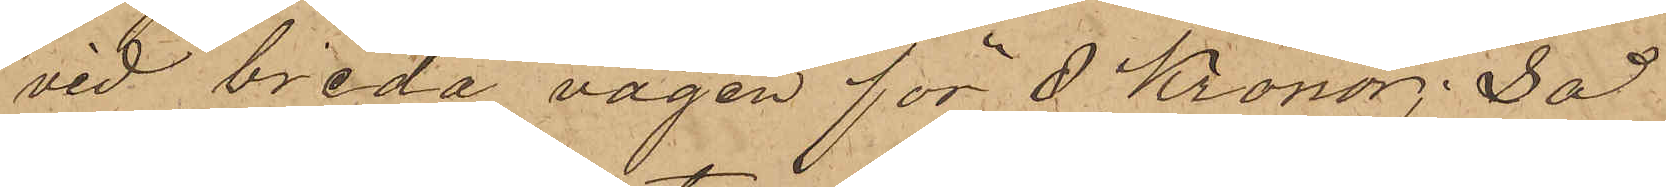vid breda vägen för 2 Kronor; Så
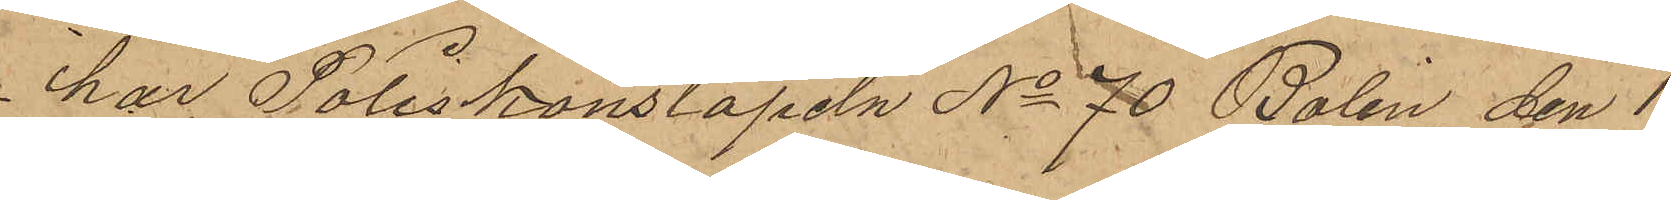har Poliskonstapeln No 70 Bolin den 1
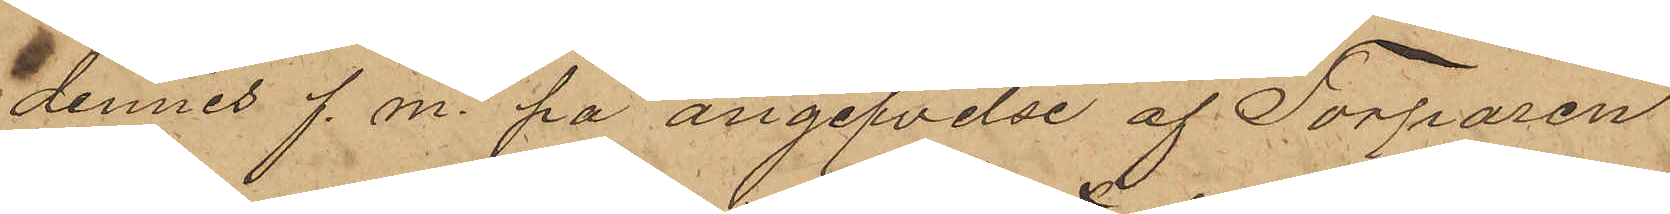dennes f. m. på angifvelse af Torparen
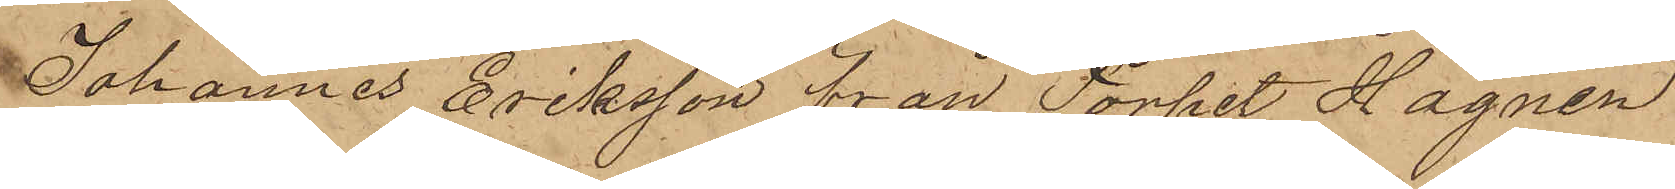Johannes Eriksson från Torpet Hägnen
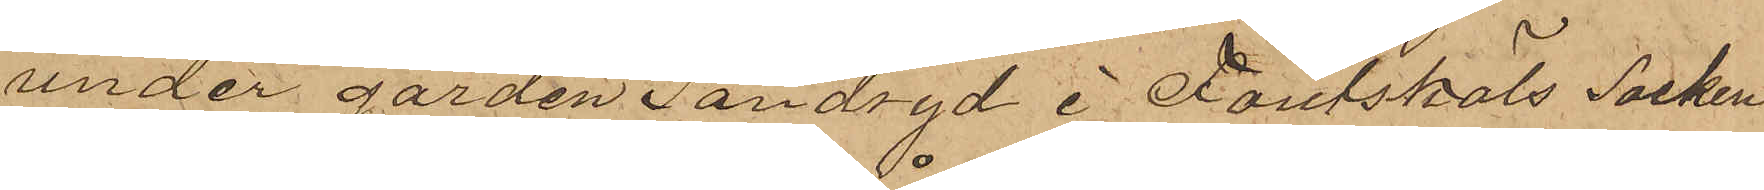under gården Sandryd i Foutskäls Socken
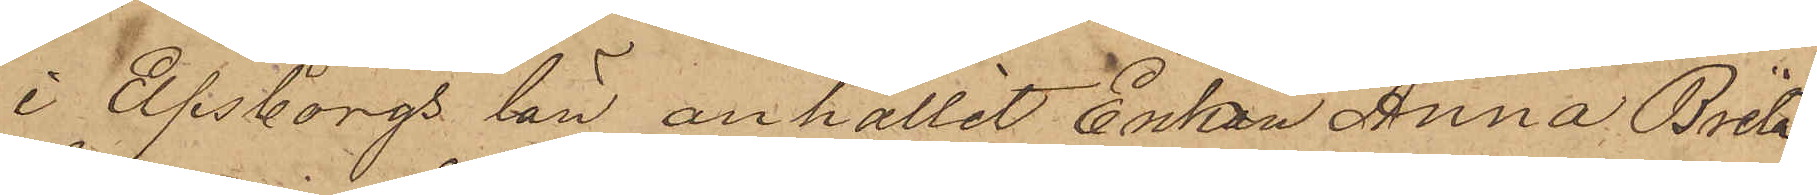i Elfsborgs län anhållit Enkan Anna Brita
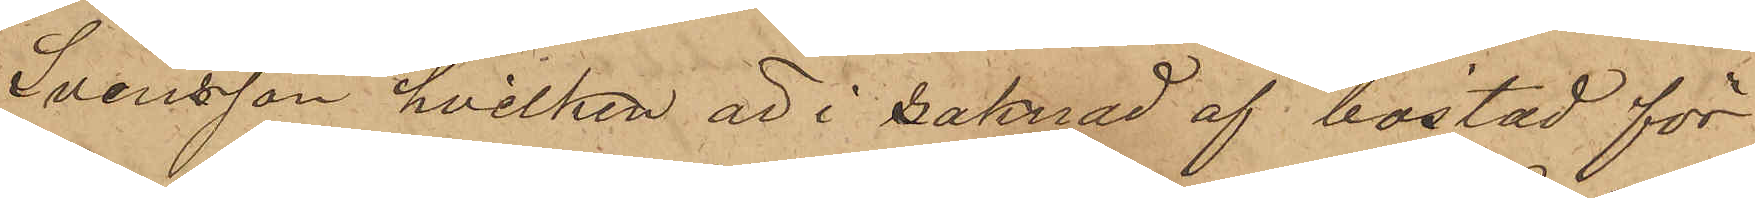Svensson, hvilken är i saknad af bostad för
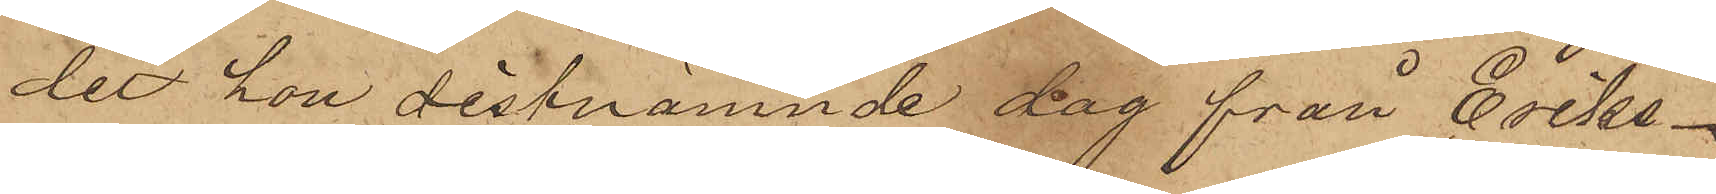det hon sistnämnde dag från Eriks¬
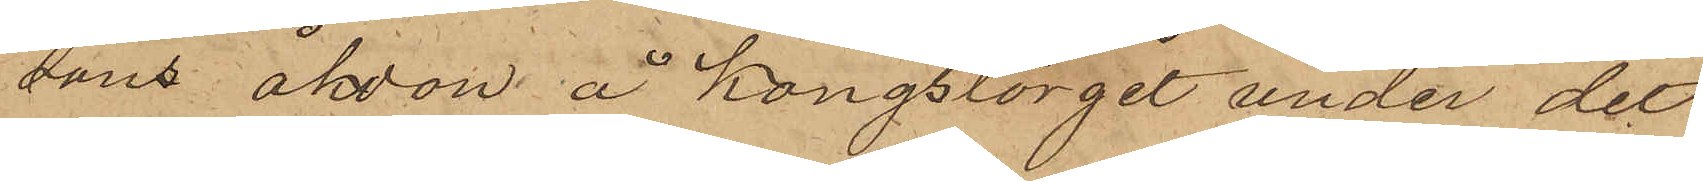sons åkdon å Kongstorget under det
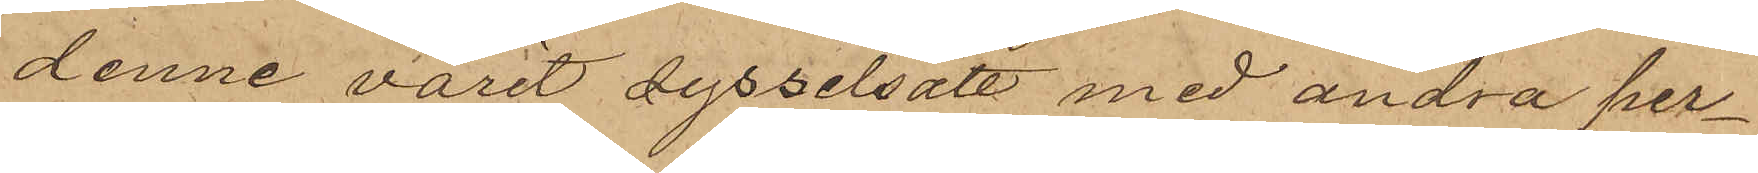denne varit sysselsatt med andra per¬
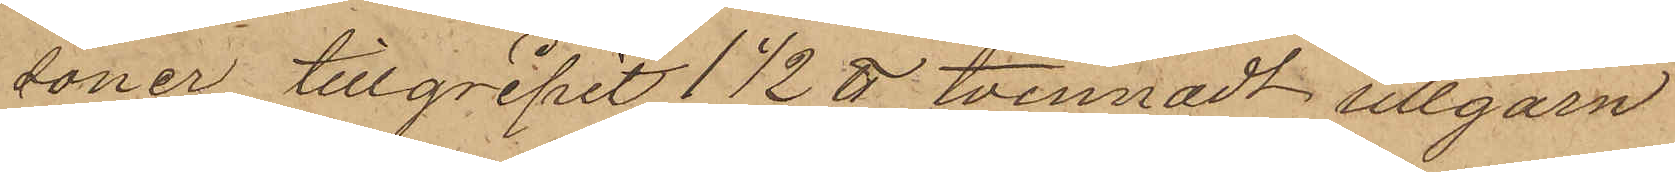soner tillgripit 1 1/2 ℔ tvinnadt ullgarn
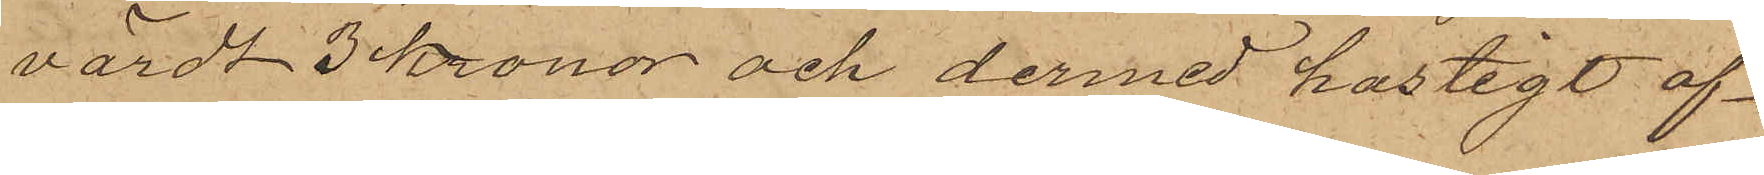värdt 3 kronor och dermed hastigt af¬
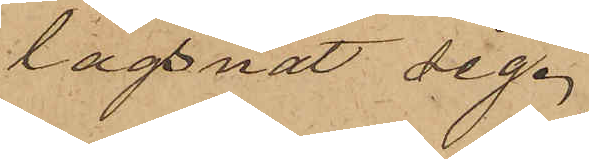lägsnat sig.
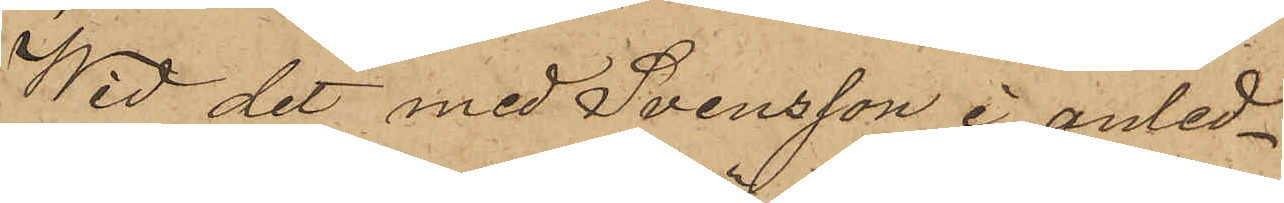Wid det med Svensson i anled¬
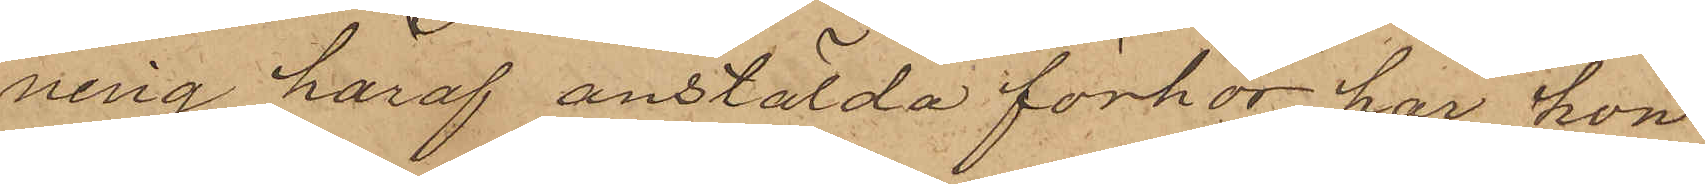ning häraf anstälda förhör har hon
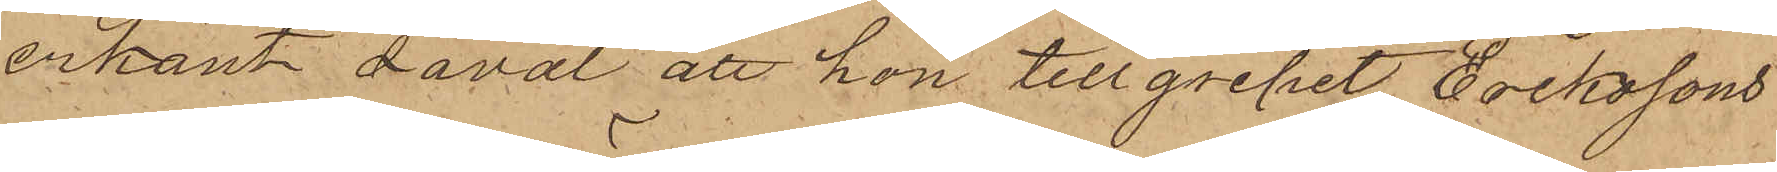erkänt såväl att hon tillgripit Erikssons
